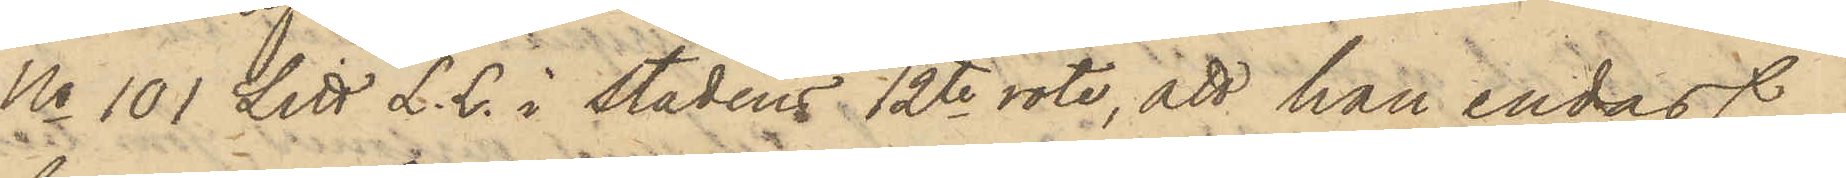No 101 Litt L. L. i stadens 12te rote, att han endast
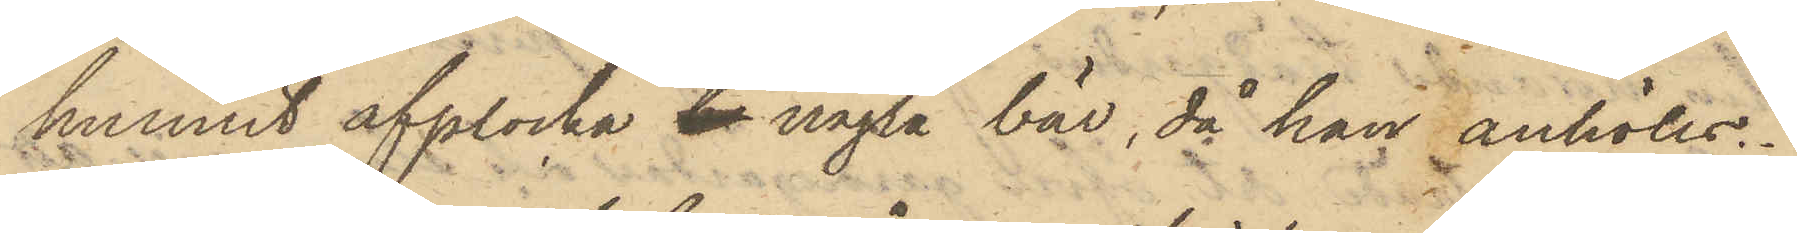hunnnit upplocka be några bär, då han anhölls.
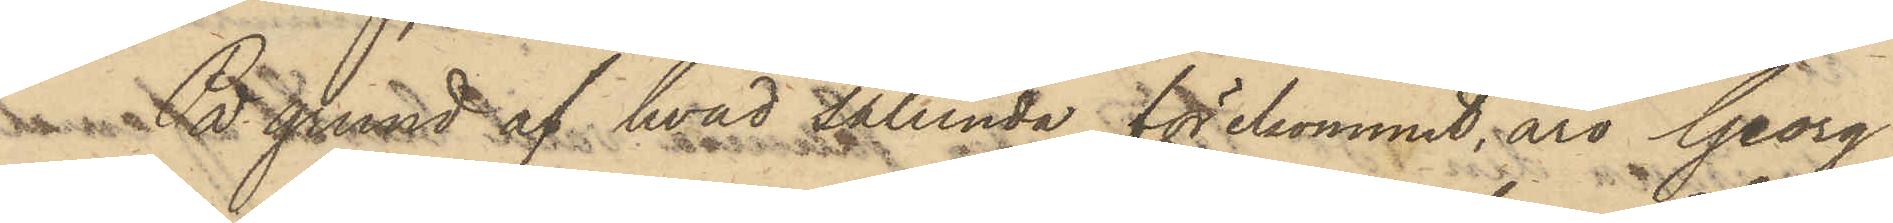På grund af hvad sålunda förekommit, äro Georg
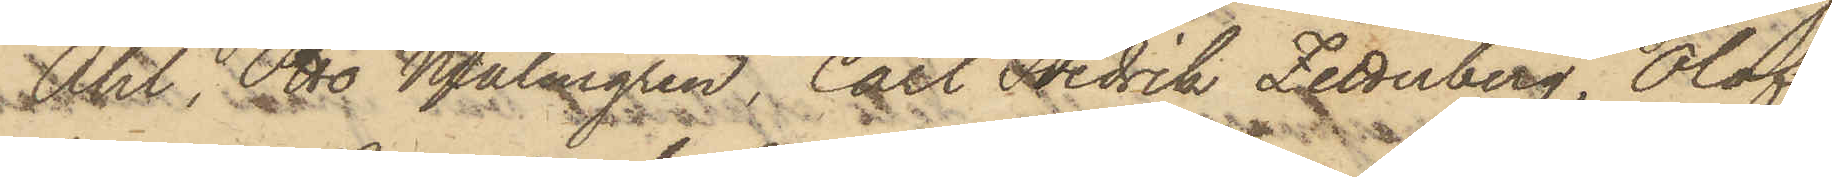Ahl, Otto Malmgren, Carl Fredrik Zetterberg, Olof
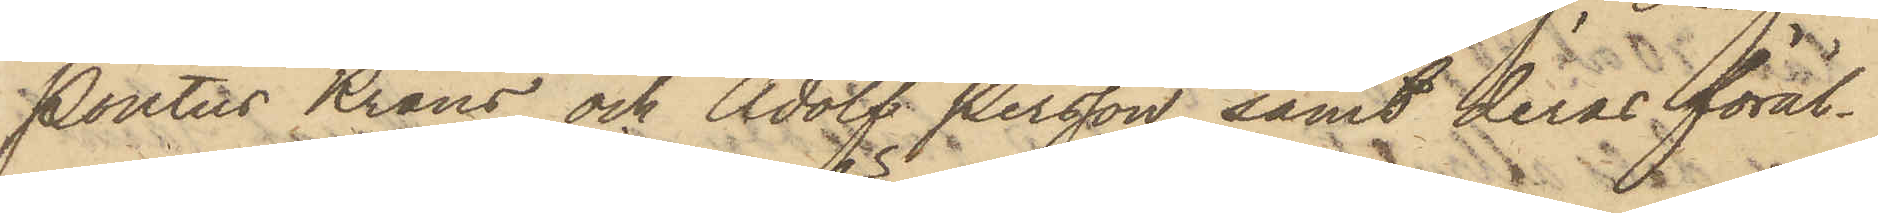Pontus Krans och Adolf Persson samt deras föräl¬
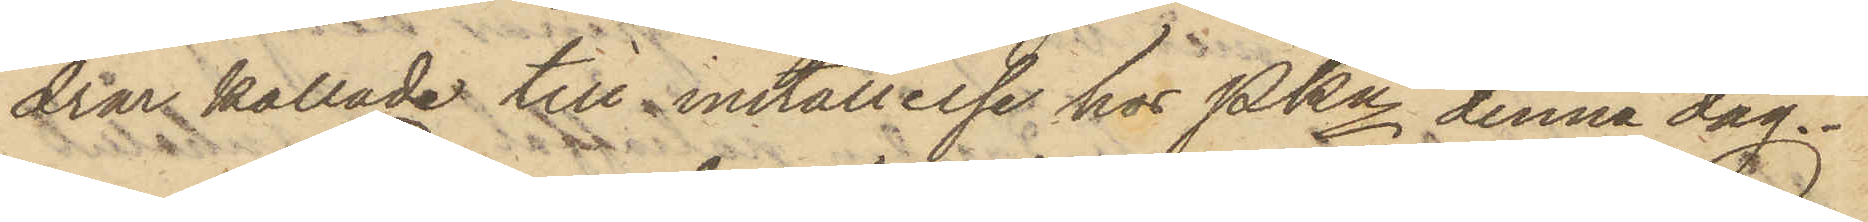drar kallade till inställelse hos PKn denna dag.
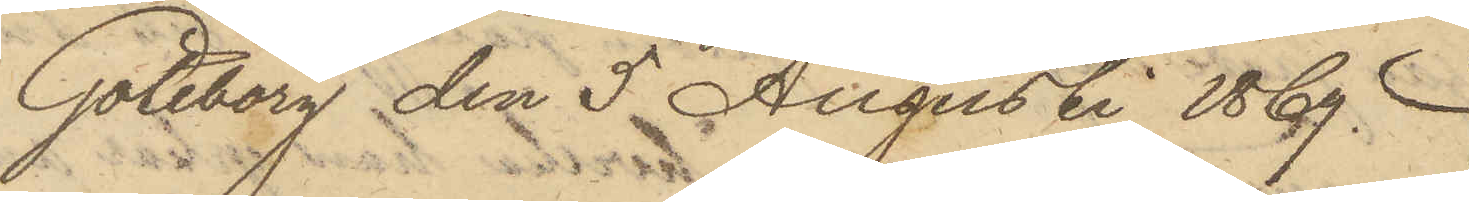Göteborg den 5 Augusti 1869.
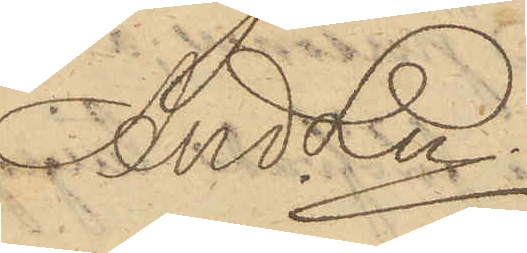And Ln
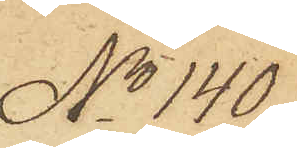No 140.
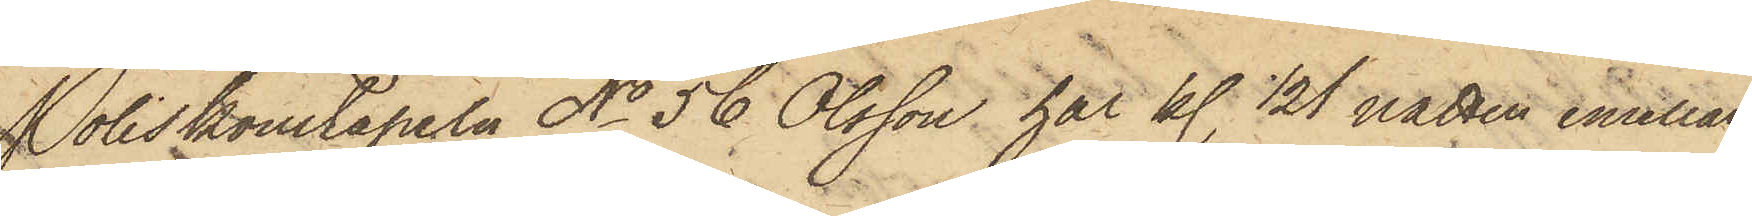Poliskonstapeln No 56 Olsson har kl. 1/2 1 natten emellan
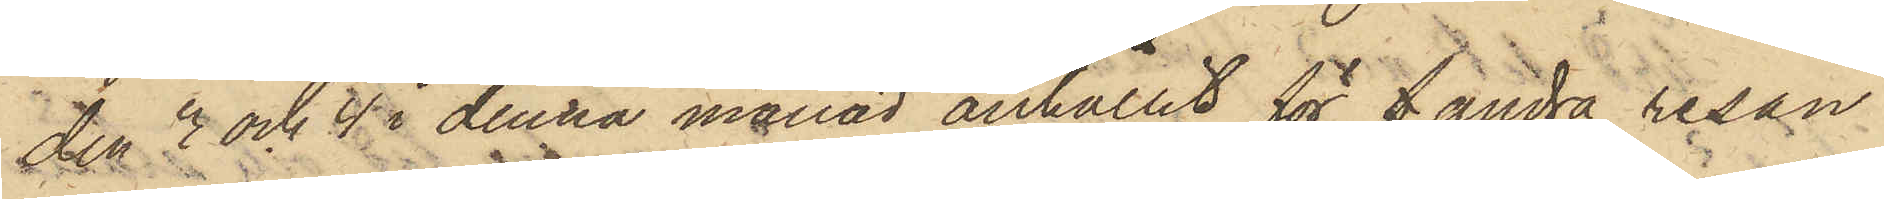den 3 och 4 i denna månad anhållit för f andra resan
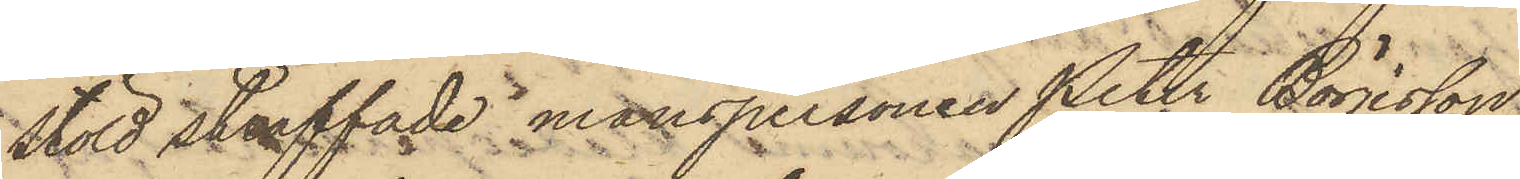stöld straffade manspersonen Peter Börjesson,
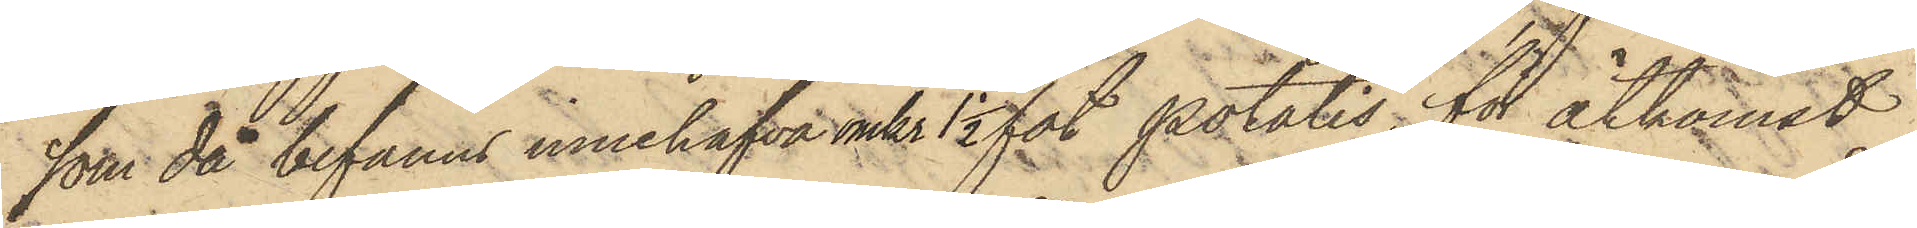som då befanns innehafva omkr 1 1/2 fot potatis, för åtkomst
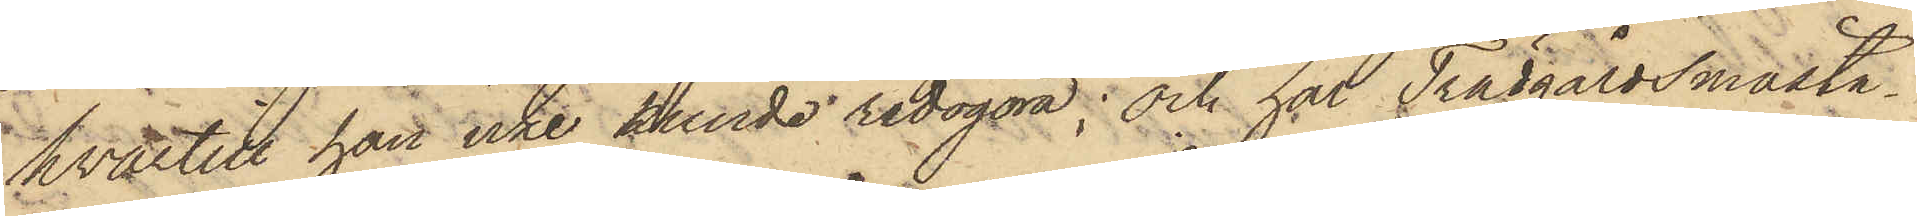hvartill han icke kunde redogöra; och har Trädgårdsmästa¬
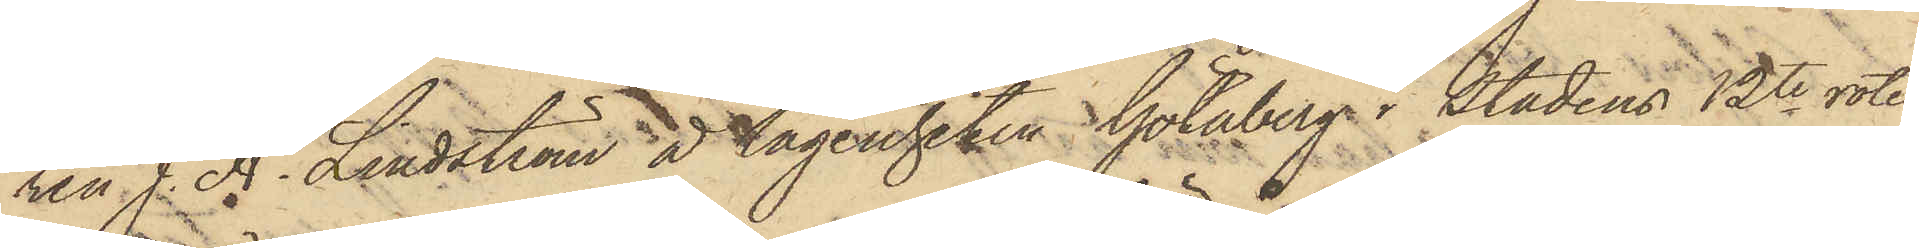ren J. A. Lindström å lägenheten Götaberg i Stadens 12te rote
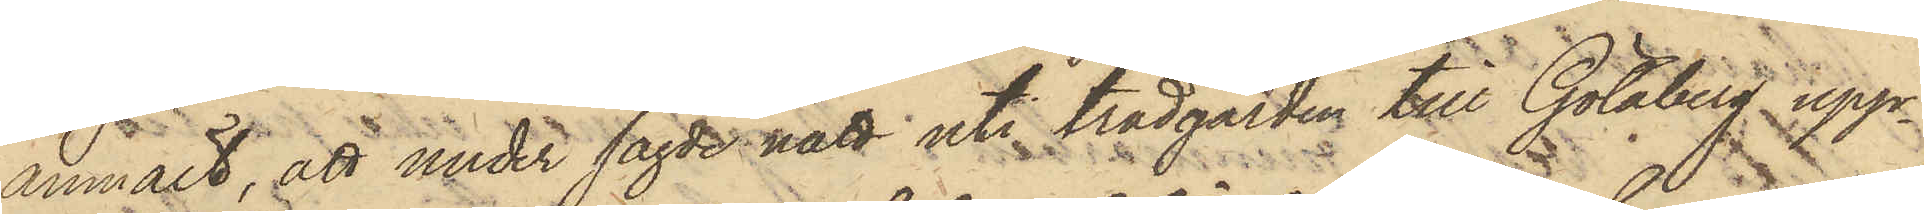anmält, att under sagde natt uti trädgården till Götaberg upp¬
